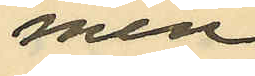men
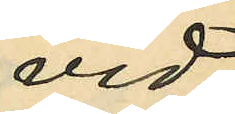vid
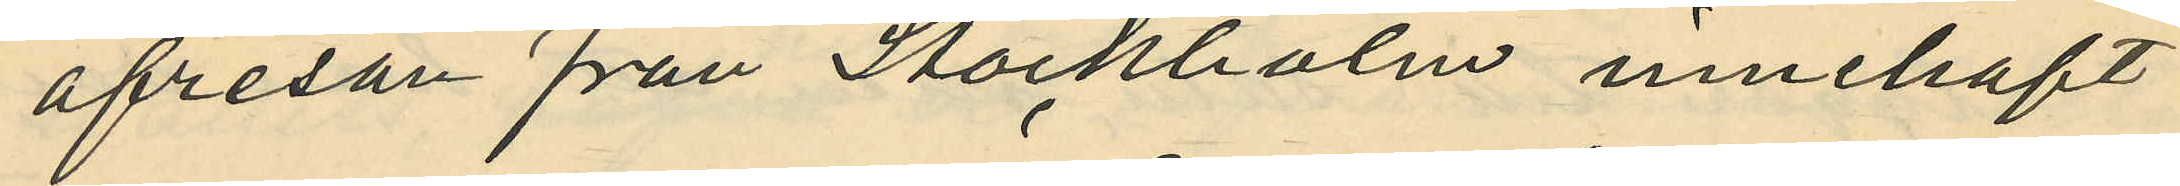afresan från Stockholm innehaft
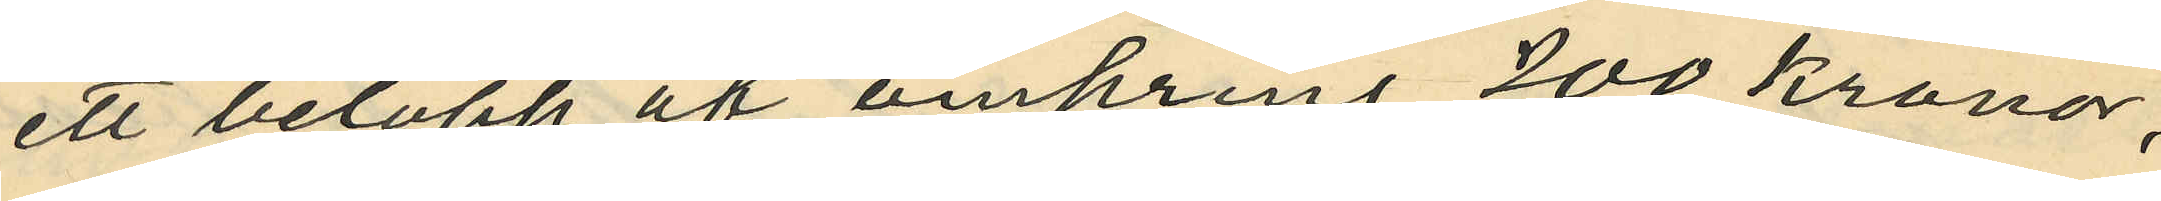ett belopp af omkring 200 kronor,
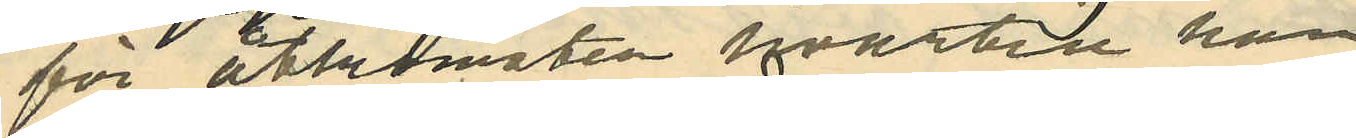för åtkomsten hvartill han
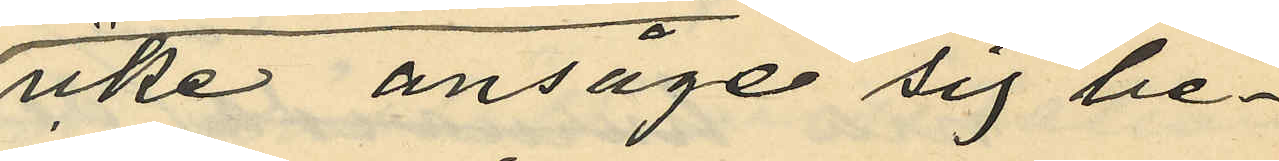icke ansåge sig be¬
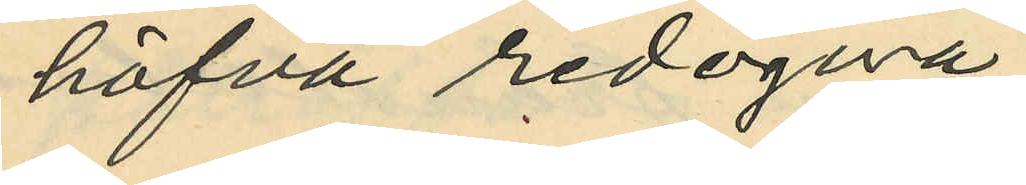höfva redogöra;
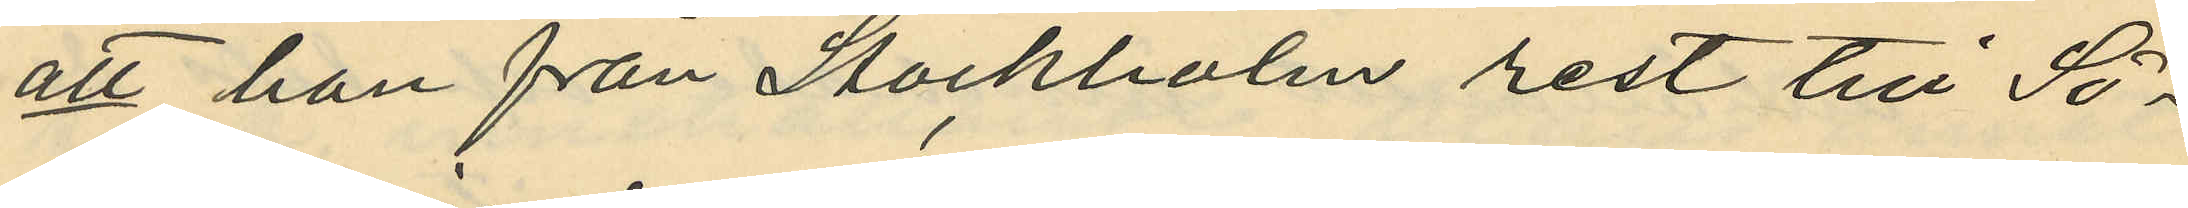att han från Stockholm rest till Sö¬
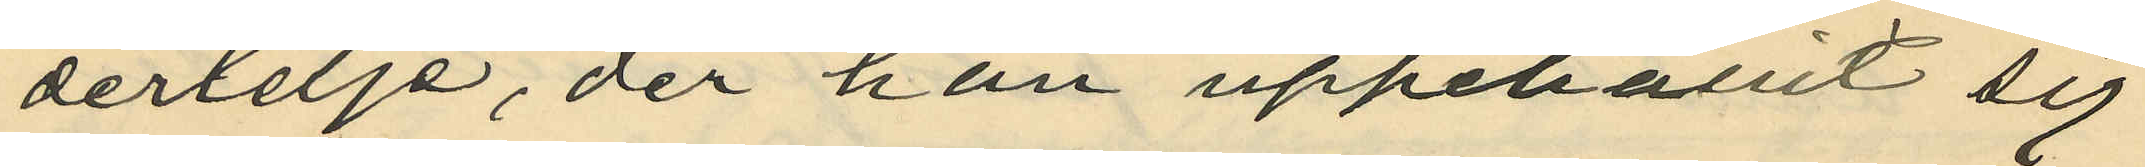dertelje, der han uppehållit sig
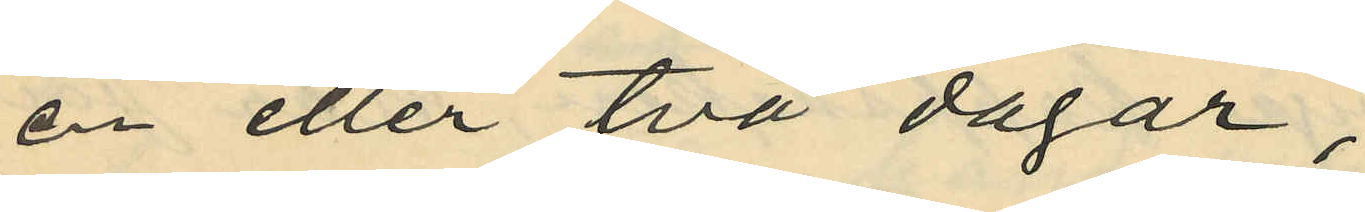en eller två dagar;
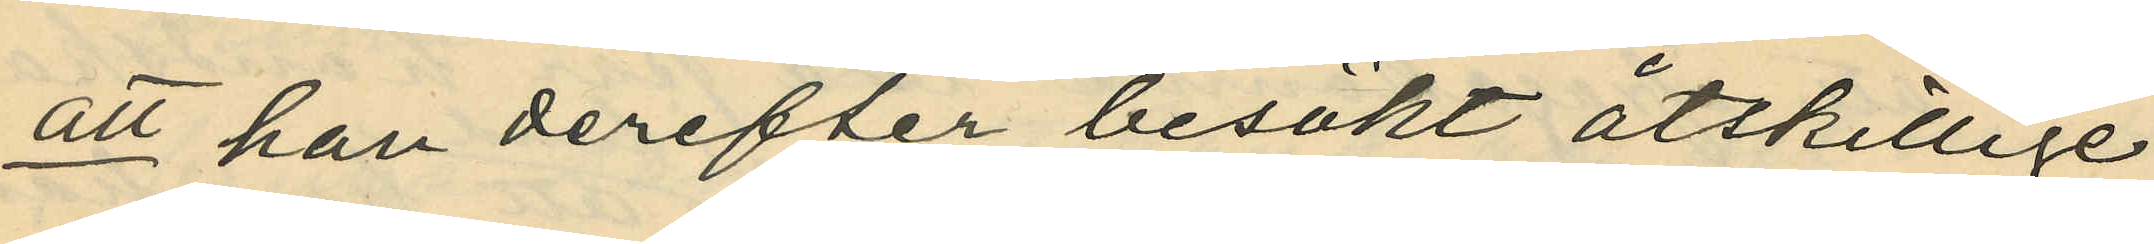att han derefter besökt åtskillige
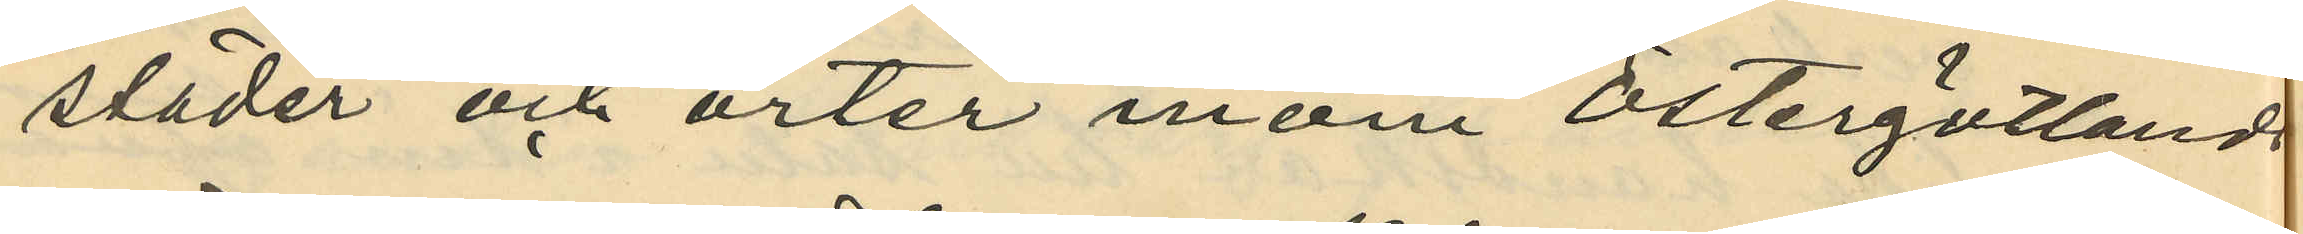städer och orter inom Östergötlands
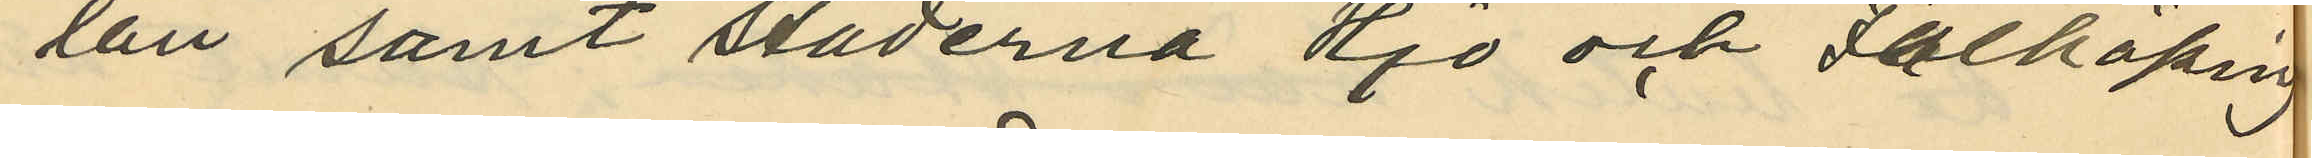län samt städerna Hjo och Falköping
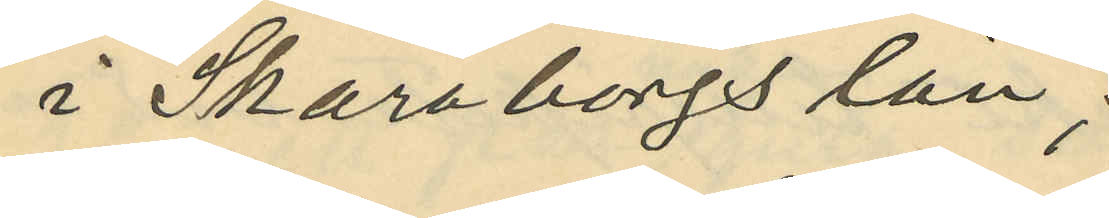i Skaraborgs län;
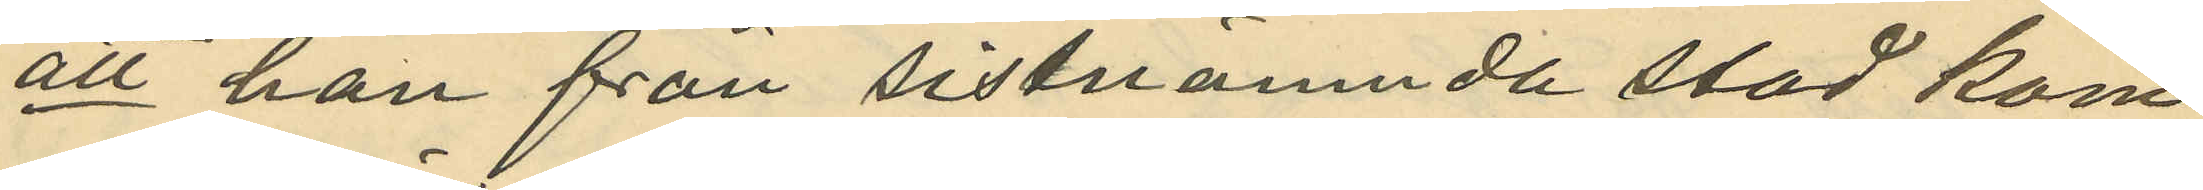att han från sistnämnda stad kom¬
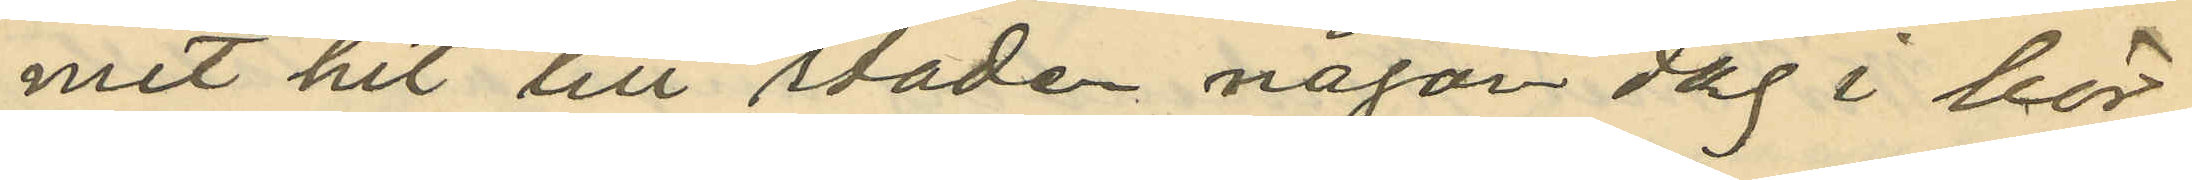mit hit till staden någon dag i bör¬
